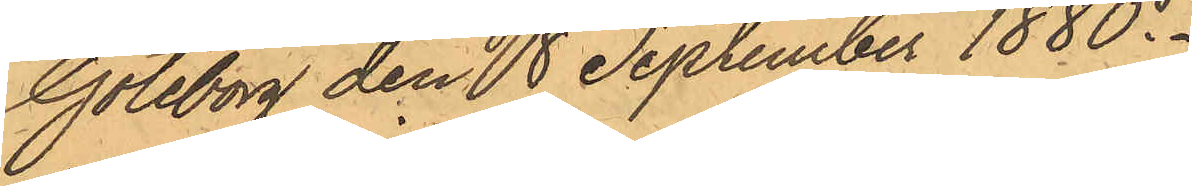Göteborg den 8 September 1880.
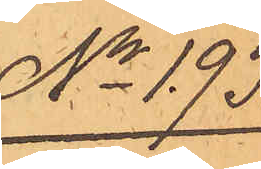No 193.
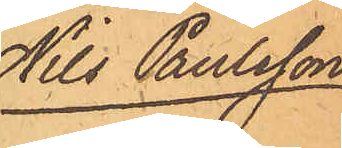Nils Paulsson
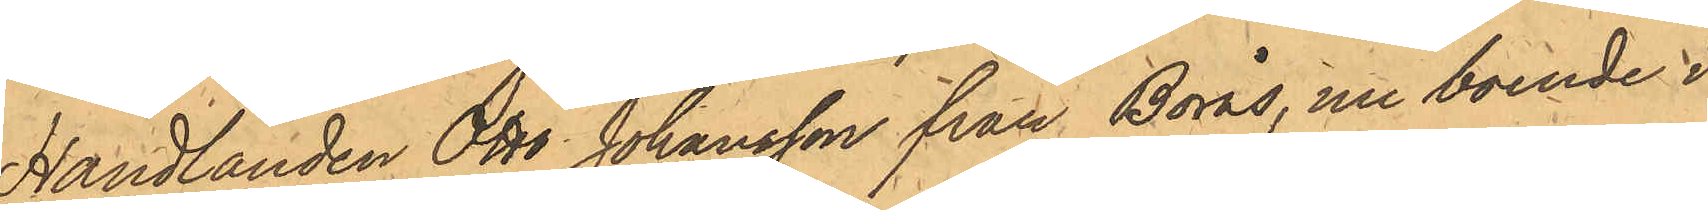Handlanden Otto Johansson från Borås, nu boende i
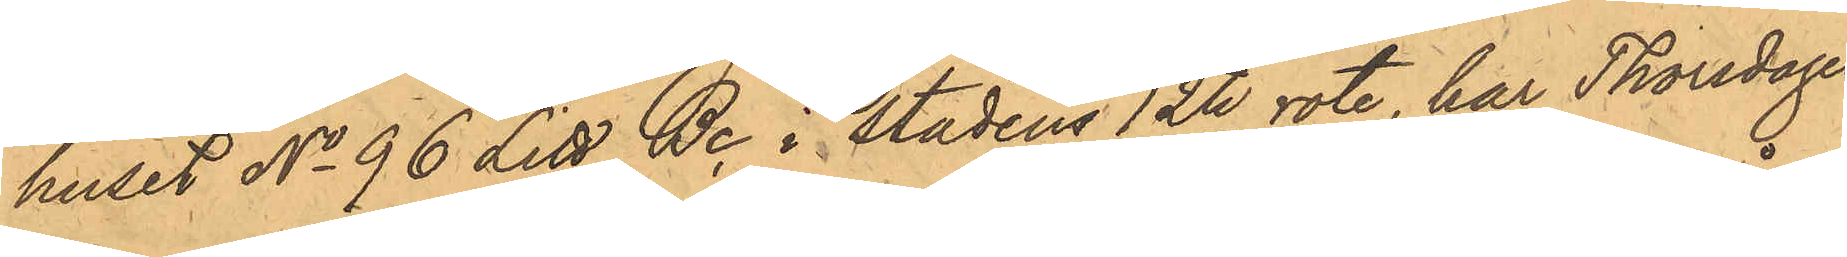huset No 96 Litt Bc i stadens 12te rote, har Thorsdagen
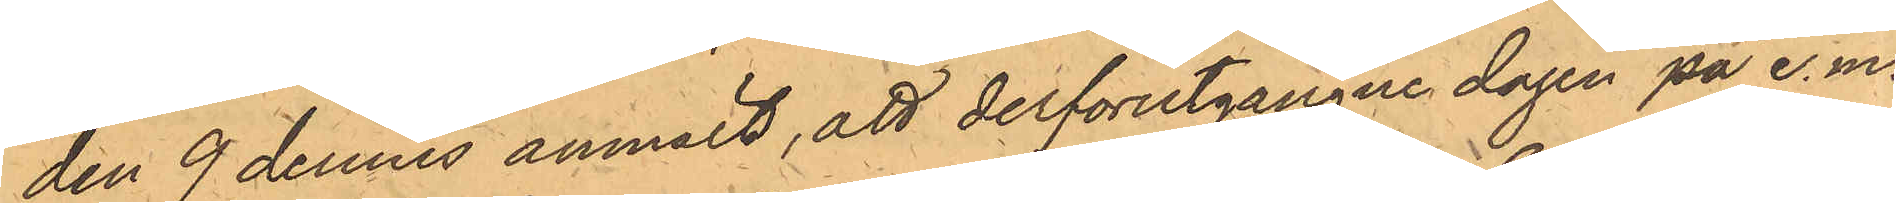den 9 dennes anmält, att derförutgångne dagen på e.m.
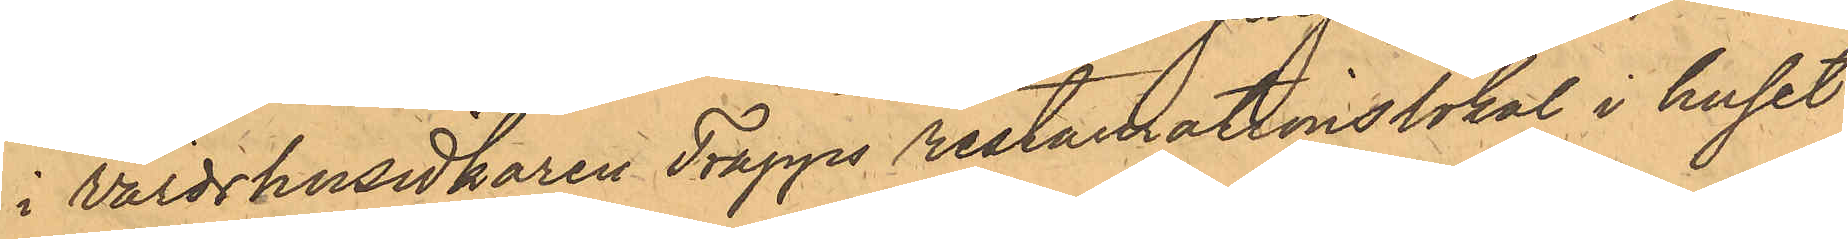i Värdshusidkaren Trapps restaurationslokal i huset
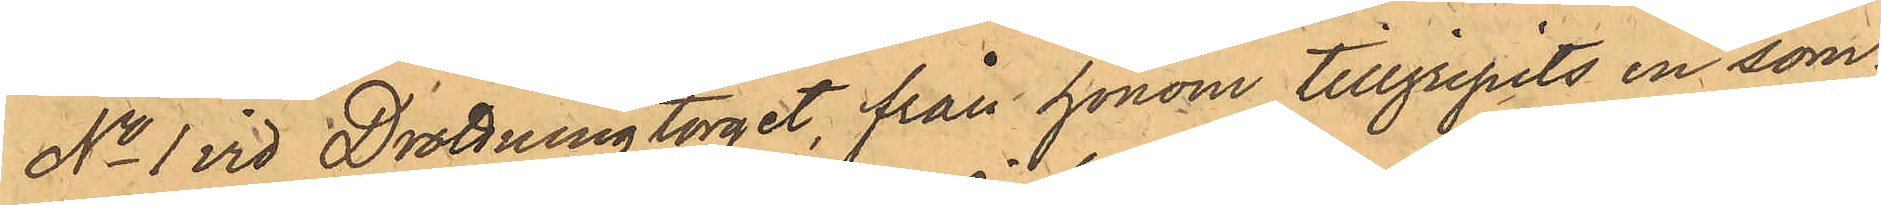No 1 vid Drottningtorget från honom tillgripits en som¬
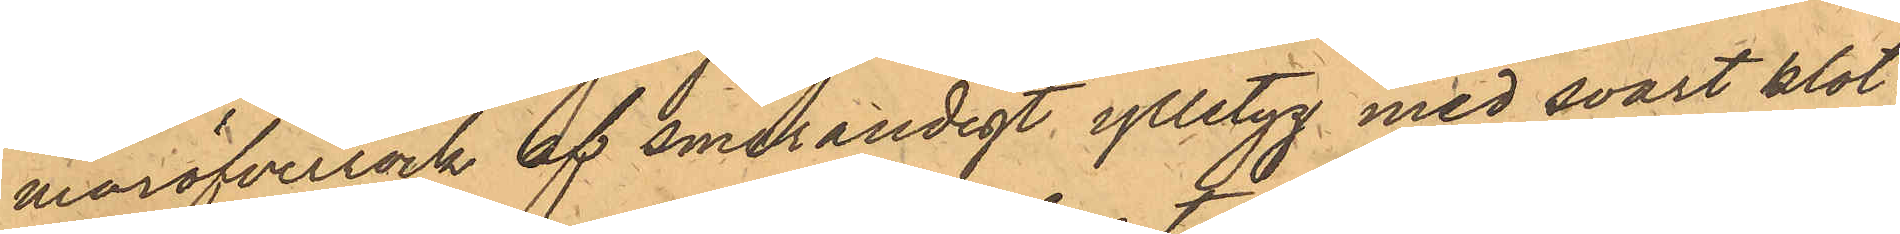maröfverrock af smårandigt ylletyg med svart klot¬
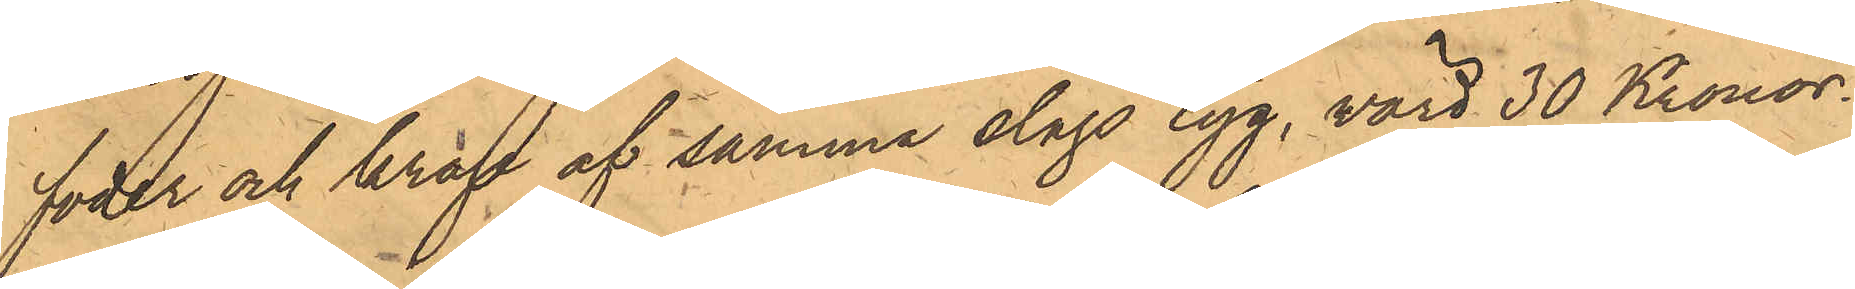foder och krage af samma slags tyg, värd 30 Kronor.
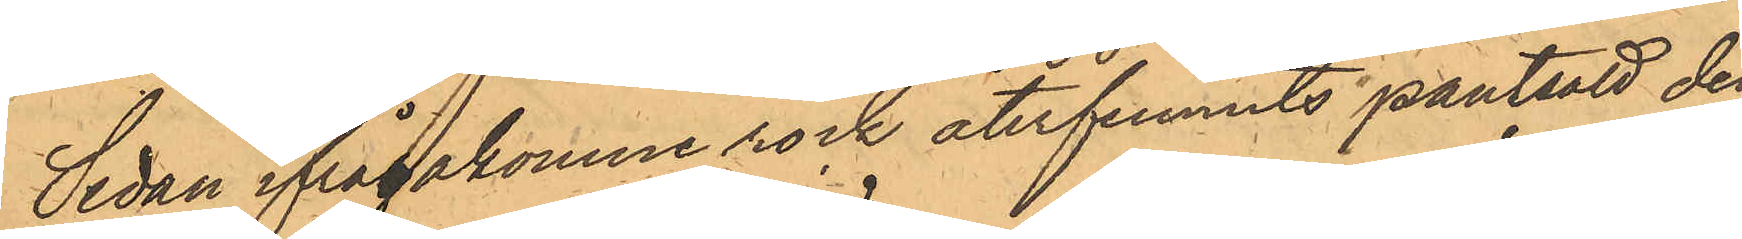Sedan ifrågakomne rock återfunnits pantsatt den
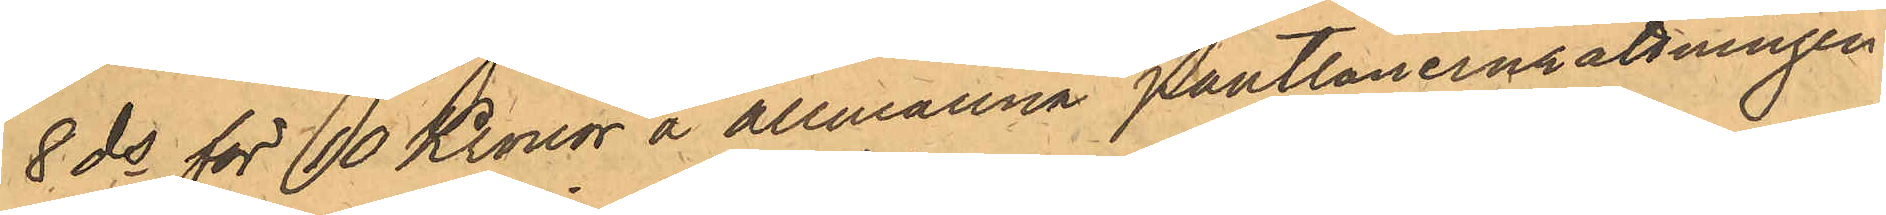8 ds för 10 Kronor å allmänna Pantlåneinrättningen
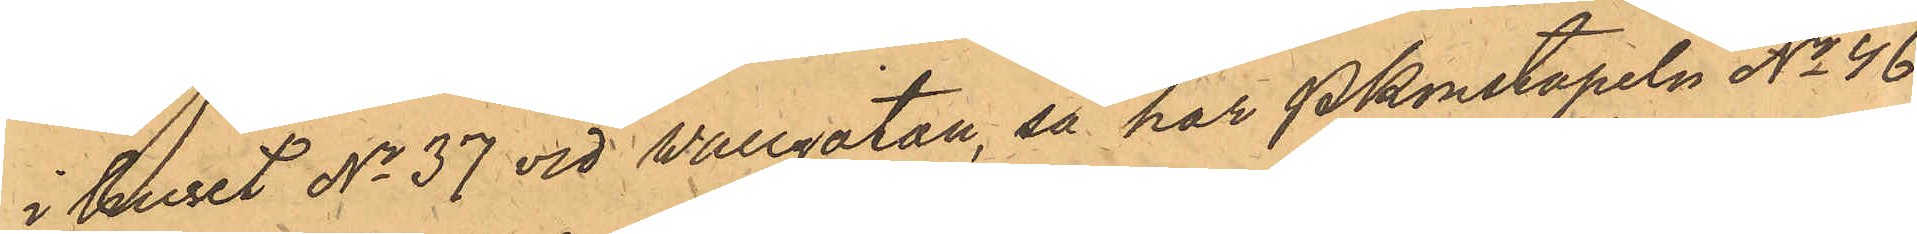i huset No 37 vid Wallgatan, så har Pkonstapeln No 46
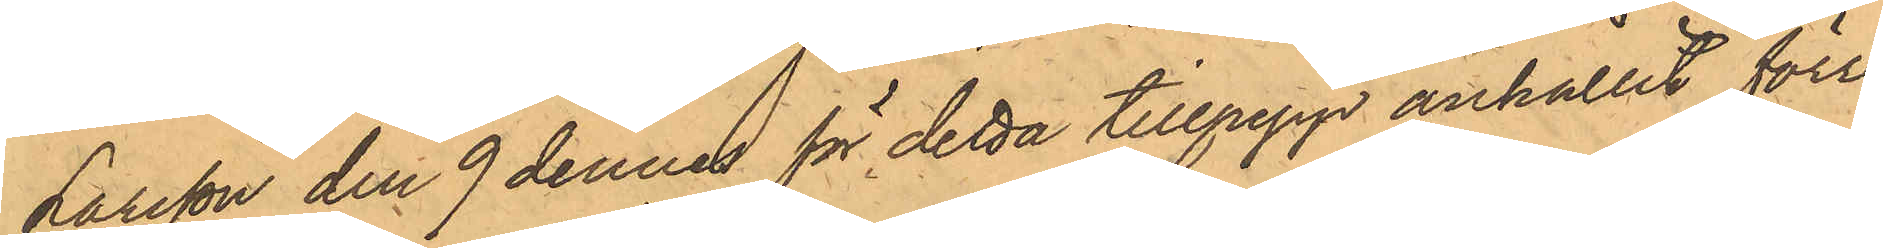Larsson den 9 dennes för detta tillgrepp anhållit förre
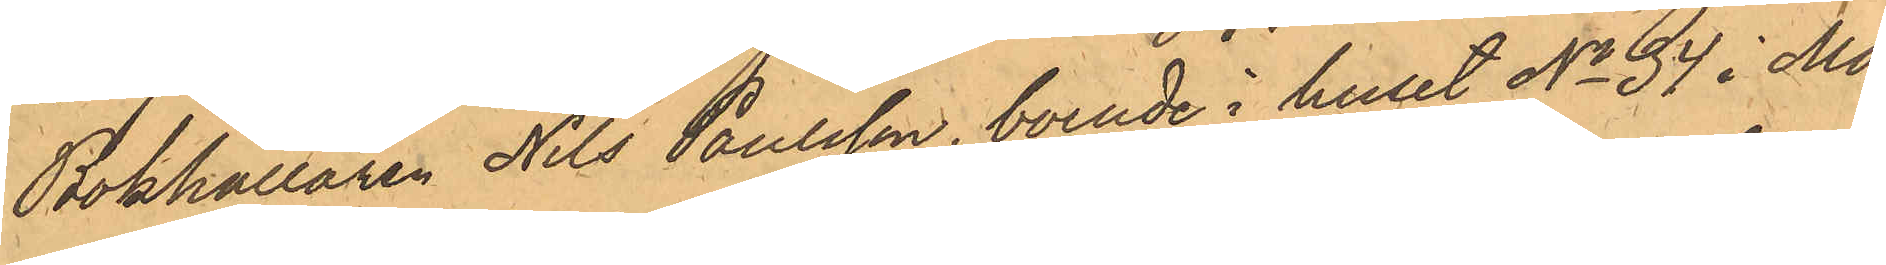Bokhållaren Nils Paulsson, boende i huset No 34 i Ma¬
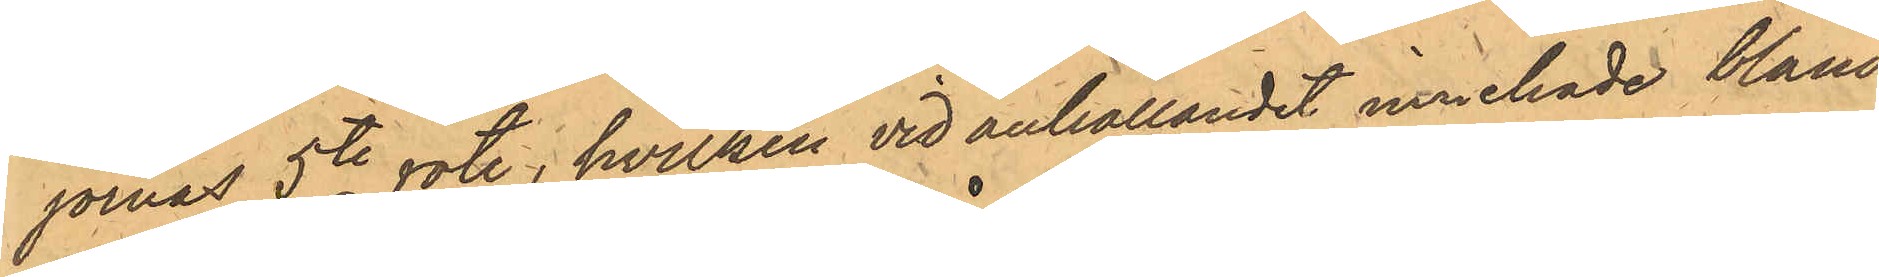jornas 5te rote, hvilken vid anhållandet innehade bland
